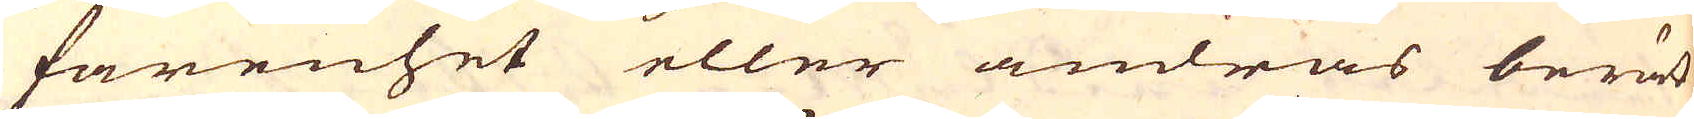farenhet eller andras berät-
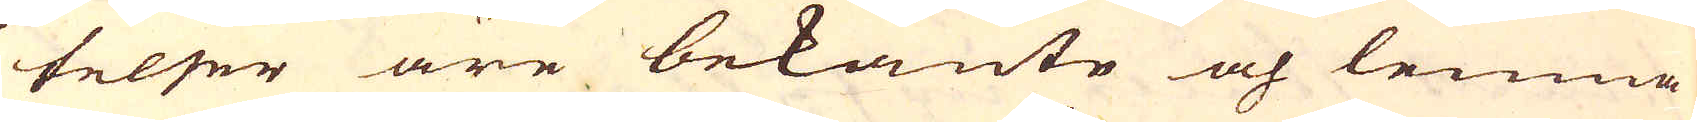telser äre bekante och lemna
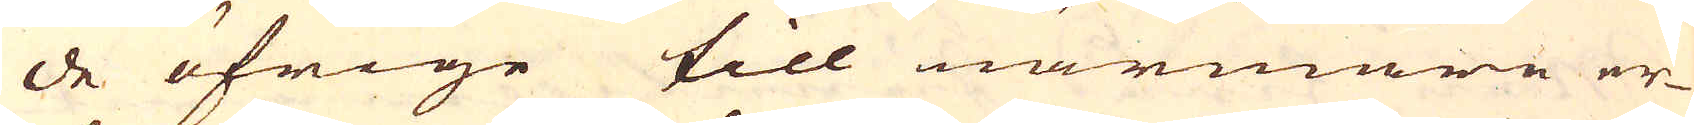de öfrige till närmare er-
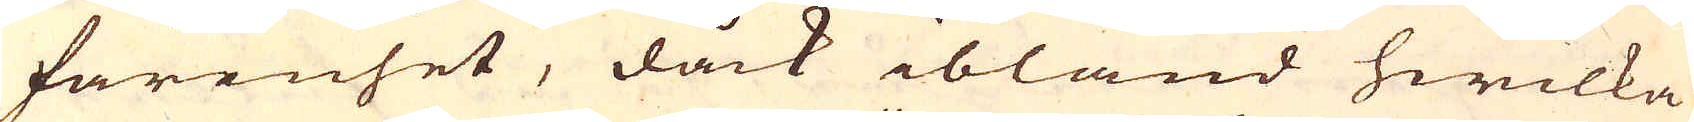farenhet, dåck ibland hwilka
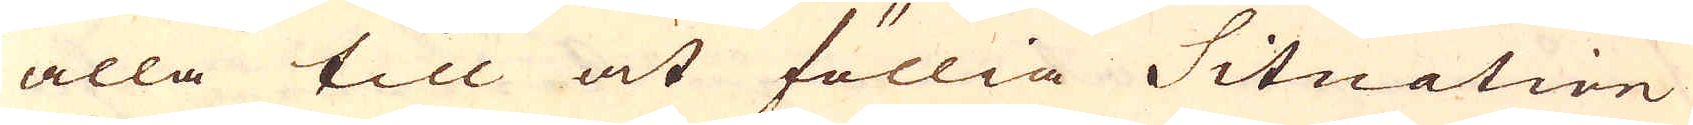alla till at föllia Situation
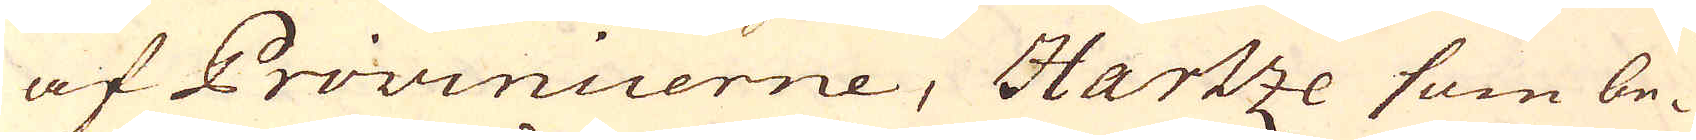af Provinicerne, Hartze som be-
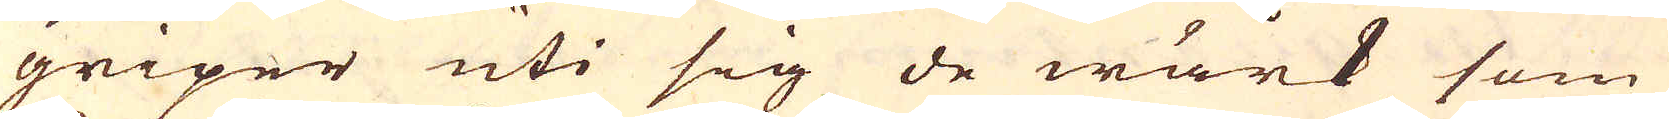griper uti sig de wärk som
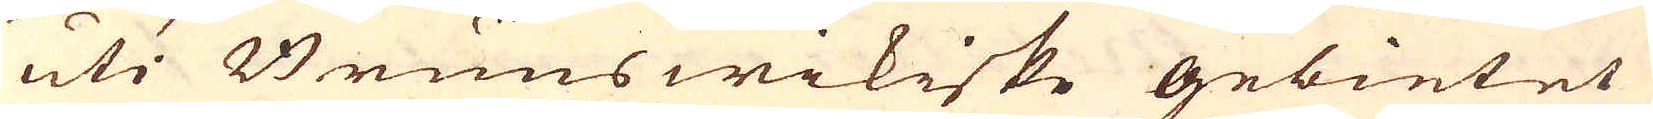uti Brunswikiske gebietet
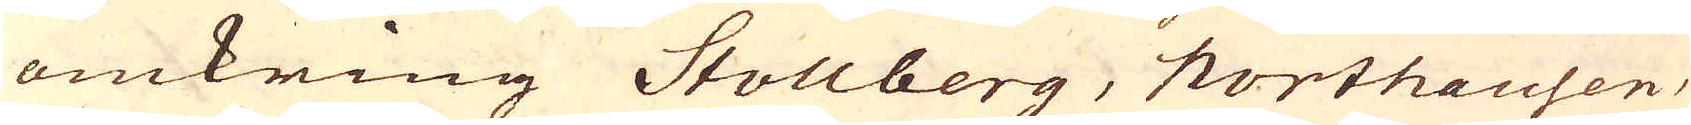omkring Stollberg, Northausen,
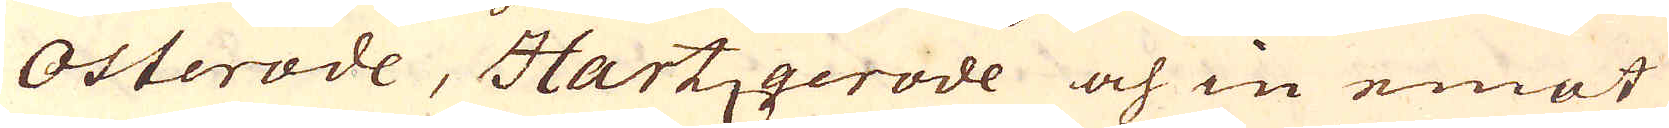Osterode, Hartzgerode och in emot
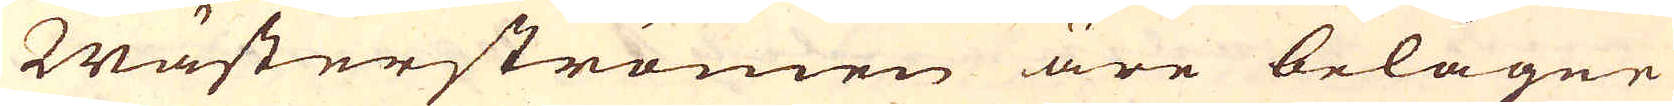Wästerströmen äre belägne
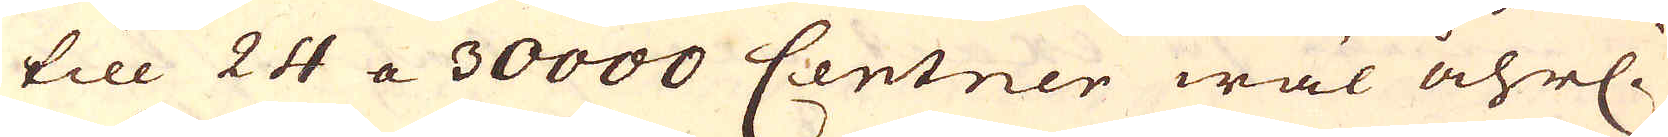till 24 a 30000 Centner wäl åhrl.
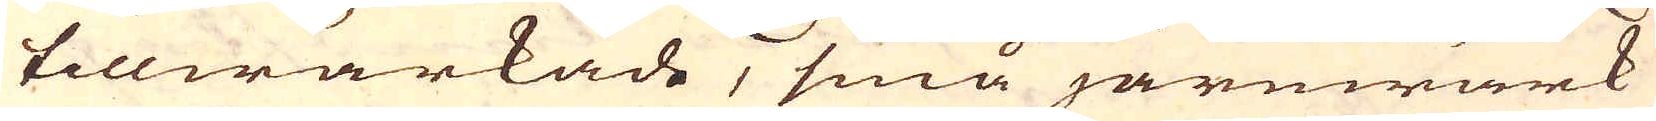tillwärkade, små järnwärk
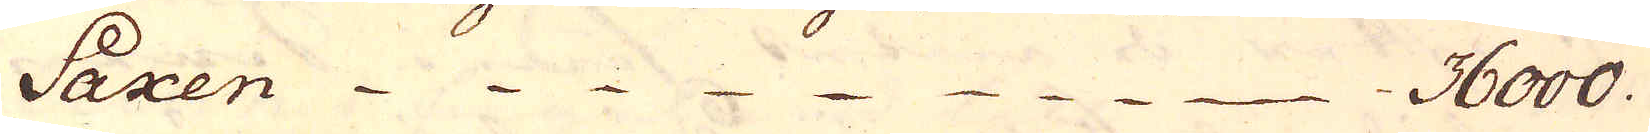Saxen 36000.
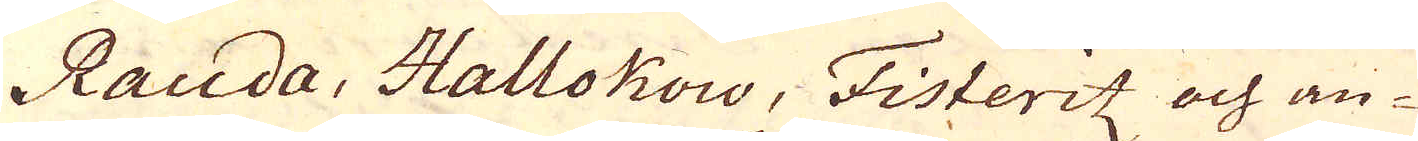Rauda, Hallokow, Fisteritz och an-
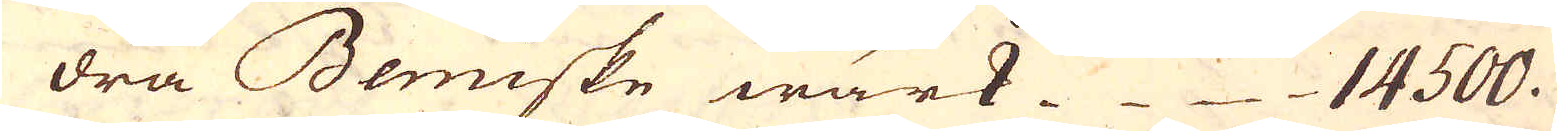dra Bemiske wärk 14500.
